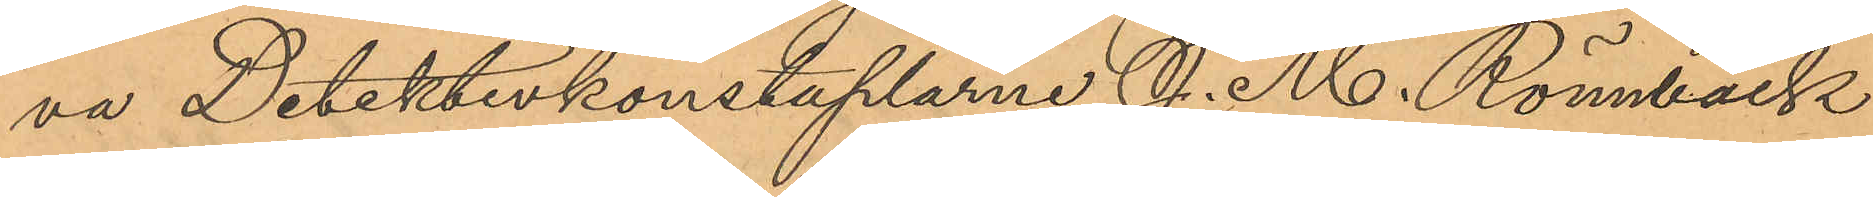va Detektivkonstaplarne J. M. Rönnbäck
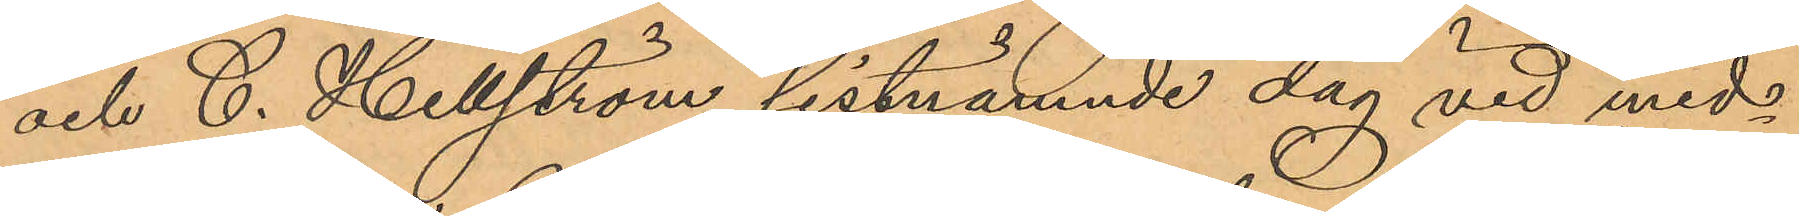och C. Hellström sistnämnde dag vid mid¬
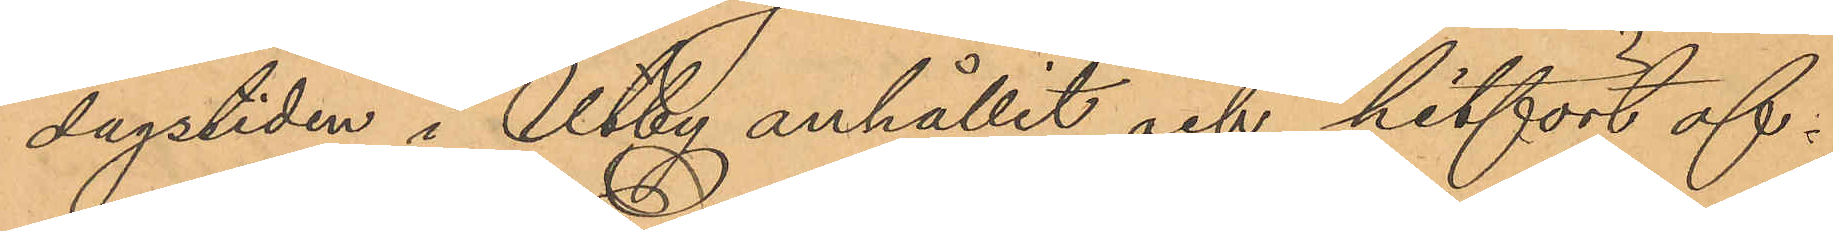dagstiden i Utby anhållit och hitfört of¬
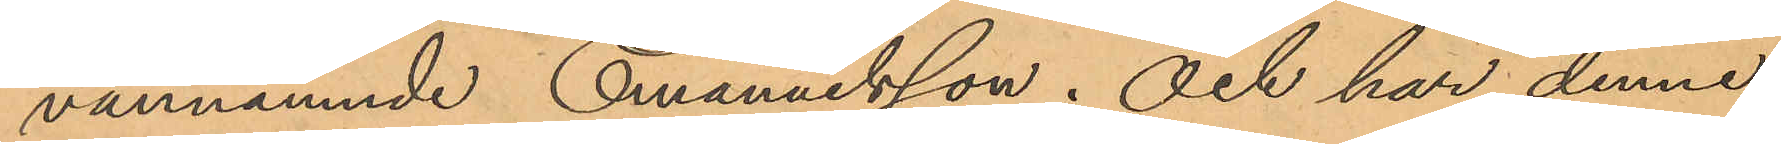vannämnde Emanuelsson; och har denne,
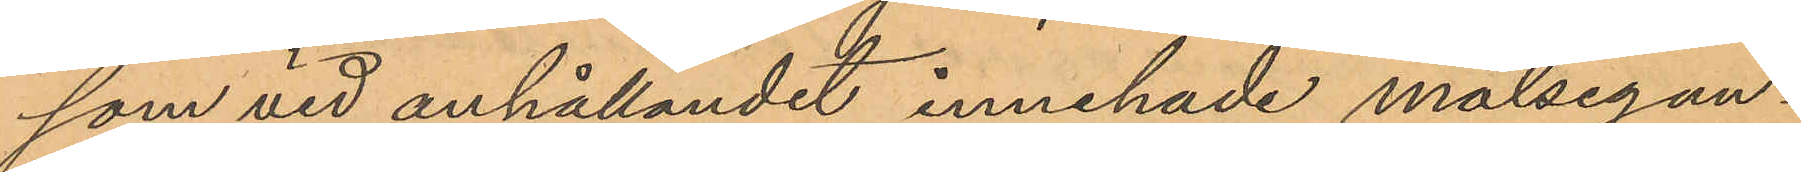som vid anhållandet innehade målsegan¬
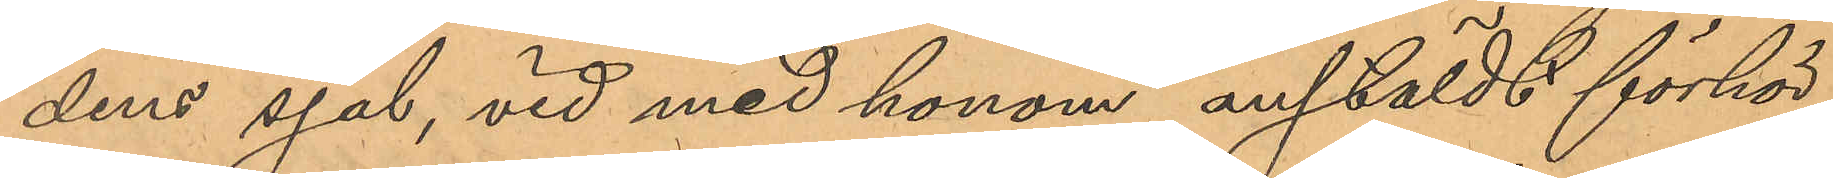dens sjal, vid med honom anstäldt förhör
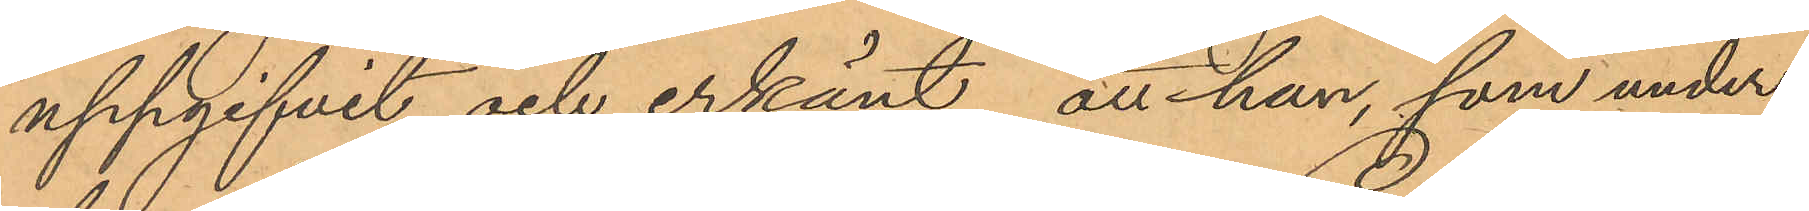uppgifvit och erkänt, att han, som under
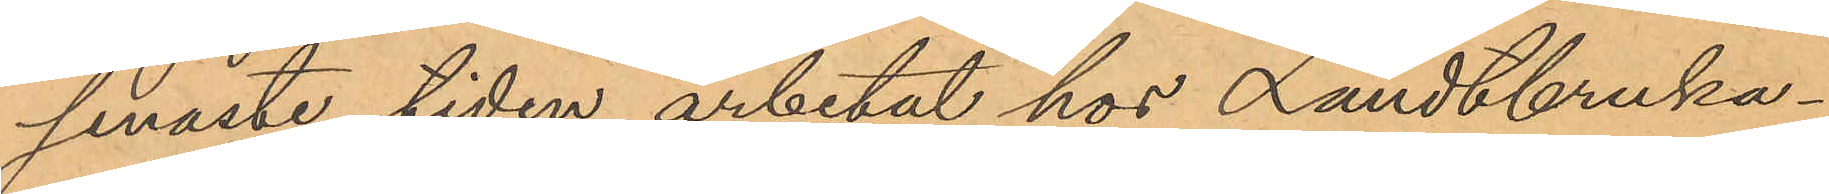senaste tiden arbetat hos Landtbruka¬
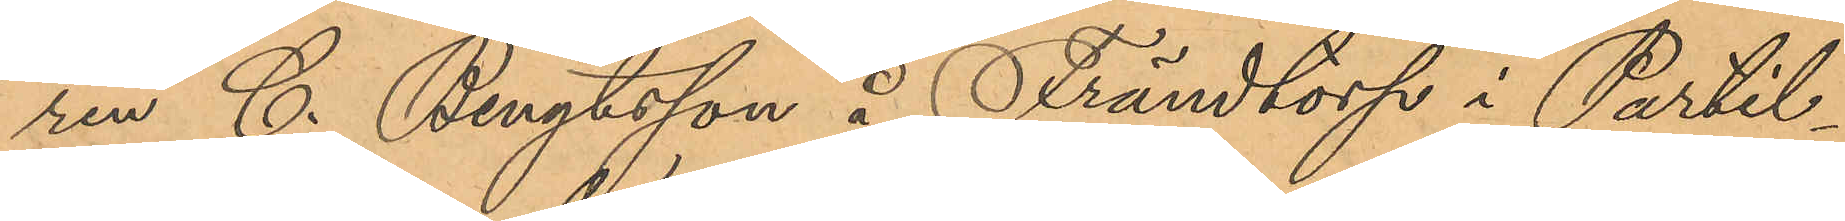ren C. Bengtsson å Frändtorp i Partil¬
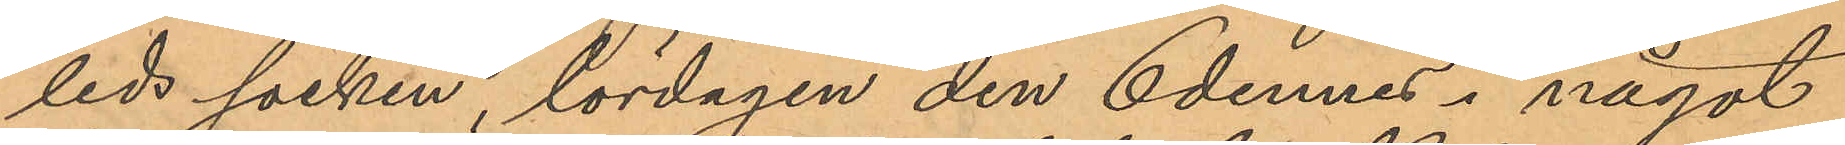leds socken, lördagen den 6 dennes i något
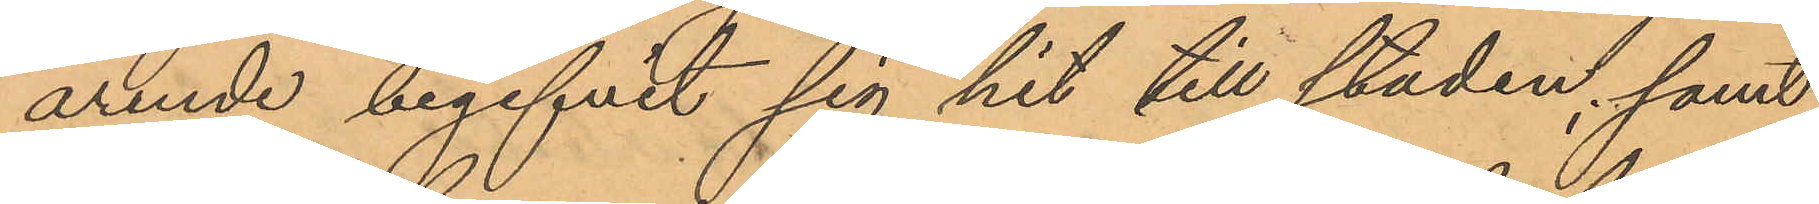ärende begifvit sig hit till staden; samt
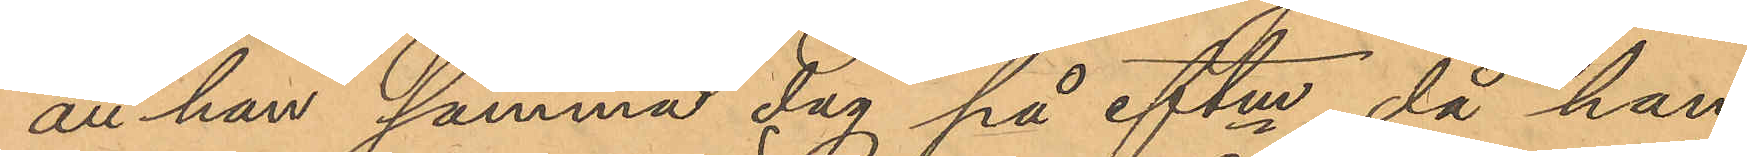att han samma dag på eftm, då han
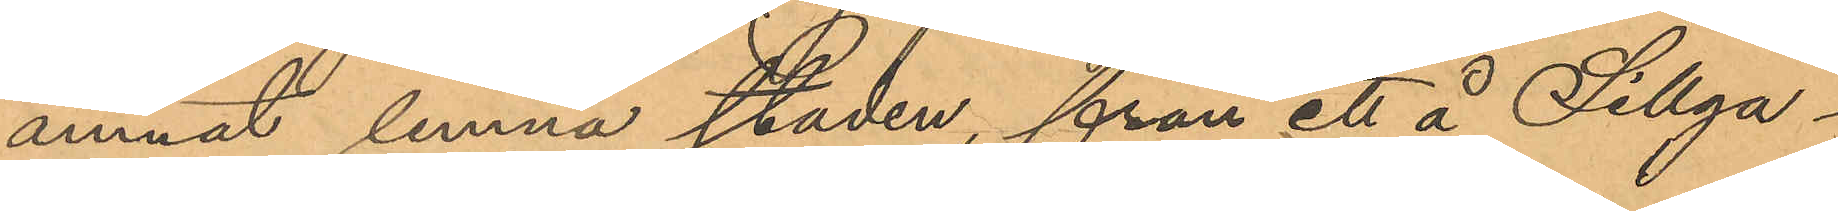ämnat lemna staden, från ett å Sillga¬
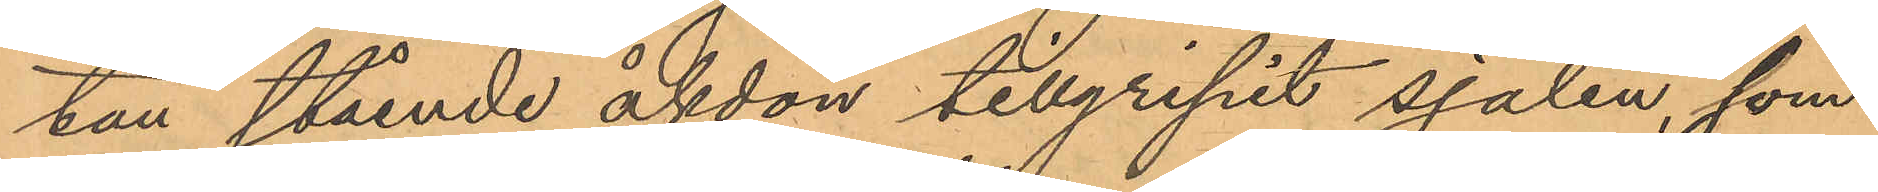tan stående åkdon tillgripit sjalen, som
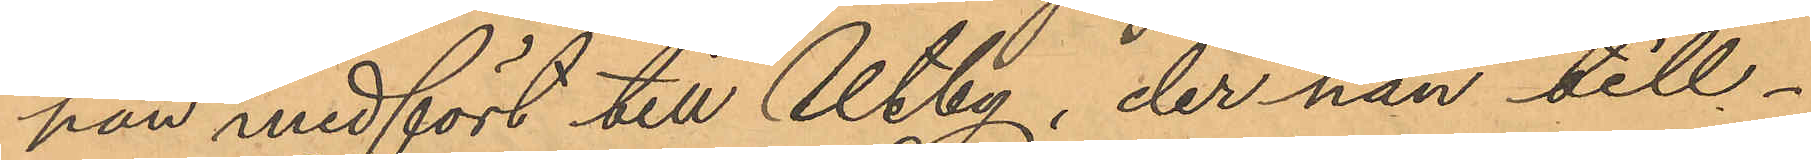han medfört till Utby, der han till¬
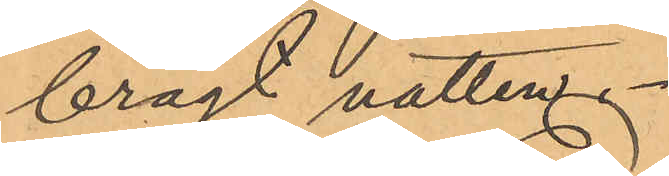bragt natten.
